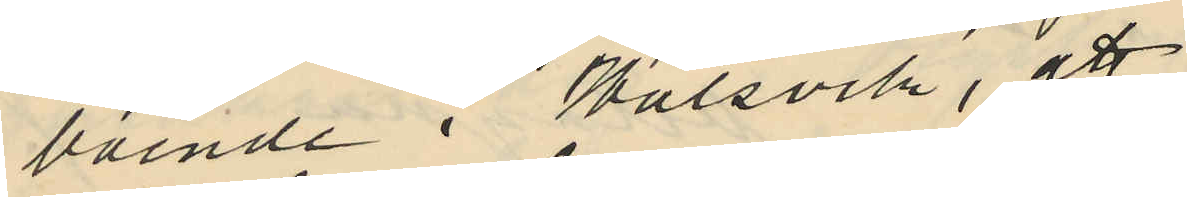boende i Halsvik, att
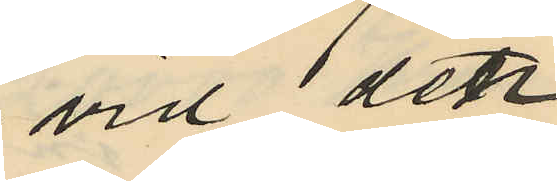vid den
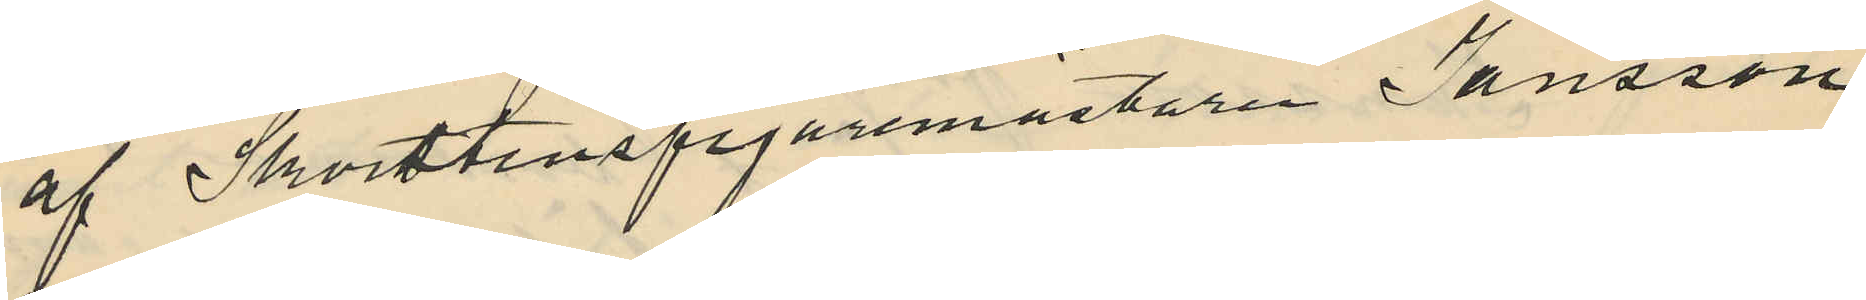af Skorstensfejaremästaren Jansson
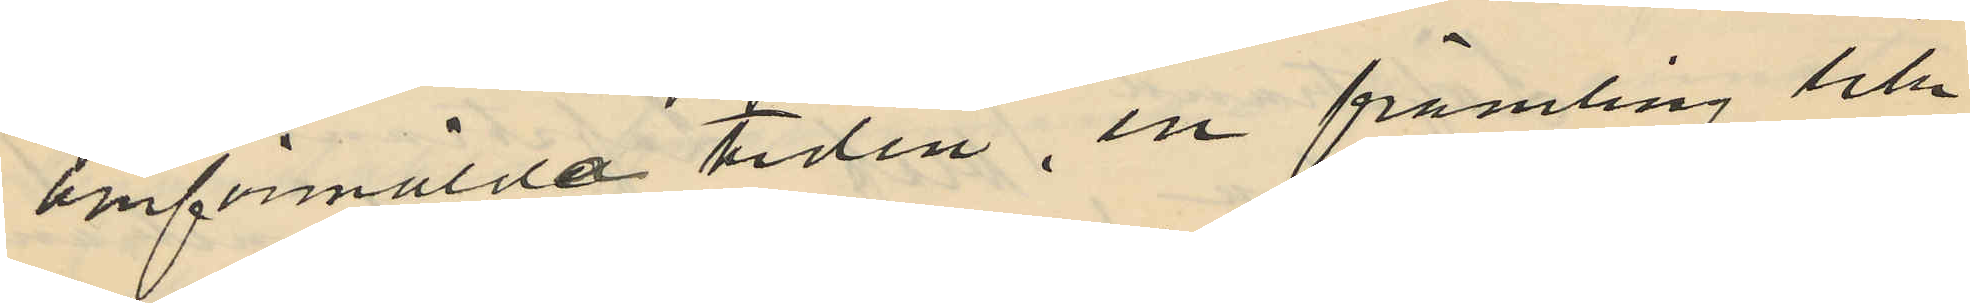omförmälda tiden, en främling lik¬
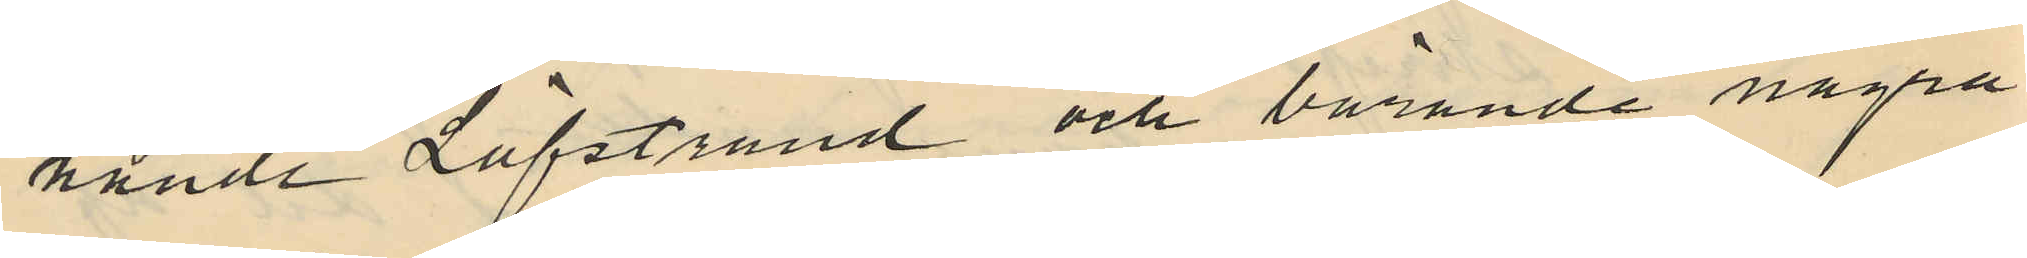nande Löfstrand och bärande några
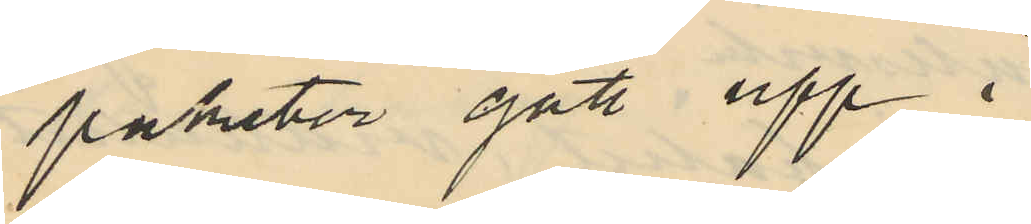paketer gått upp i
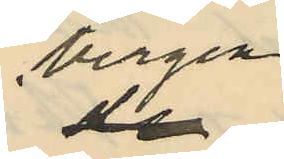bergen
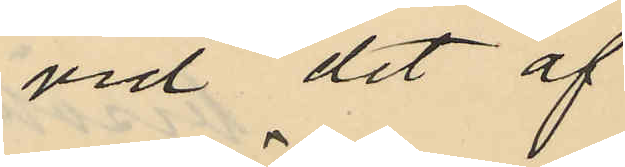vid det af
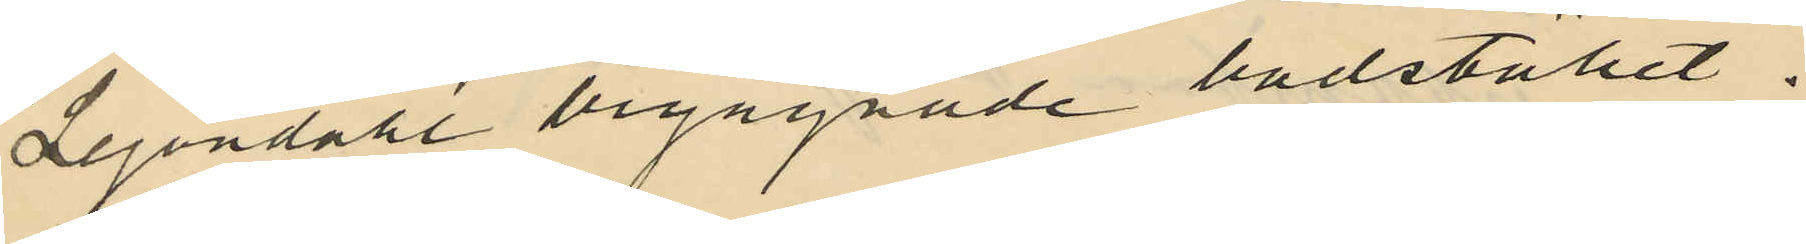Lejondahl begagnade badstället.
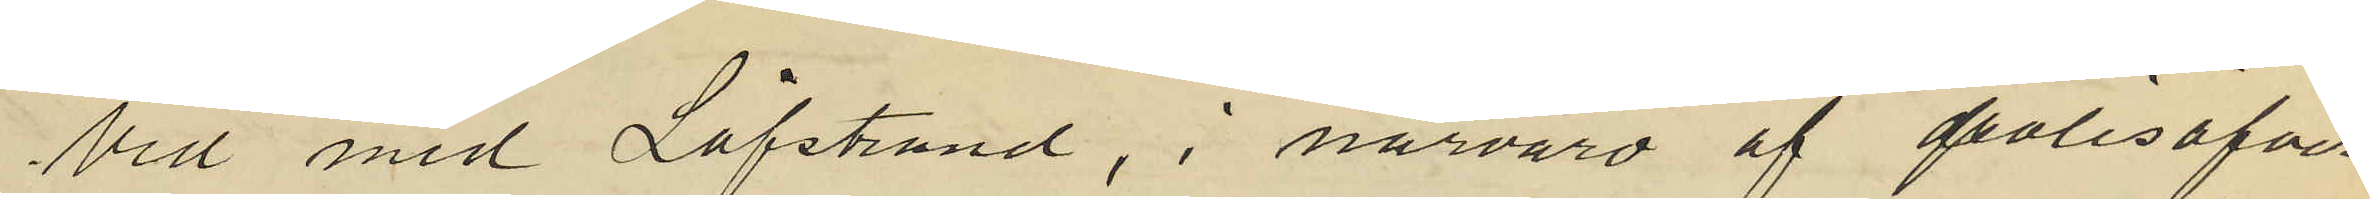Vid med Löfstrand, i närvaro af polisöfver¬
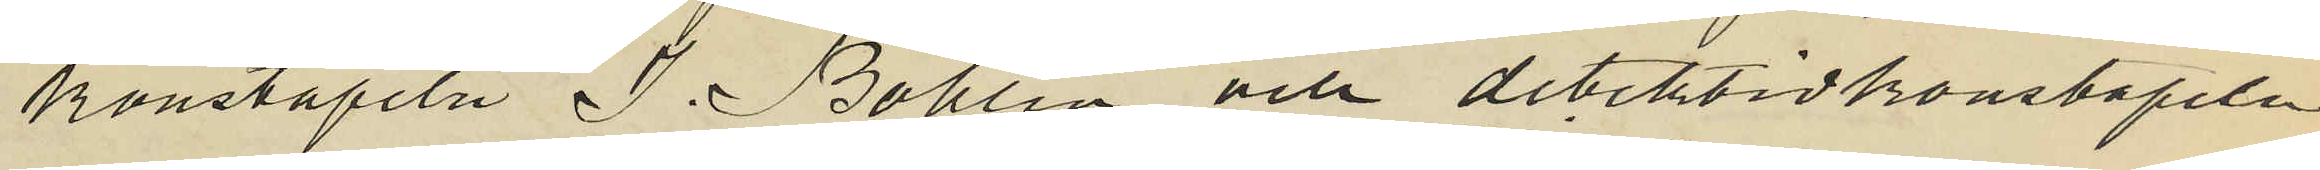konstapeln J. Bohlin och detektivkonstapeln
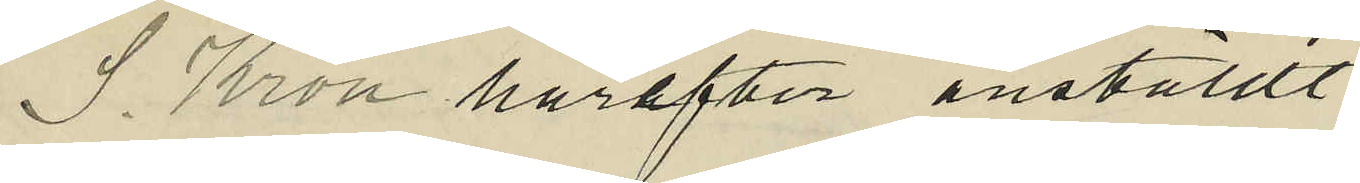S. Kron härefter anställt
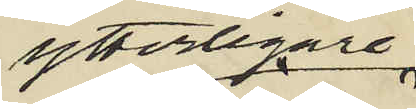ytterligare
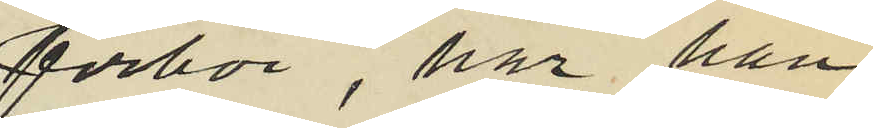förhör, har han
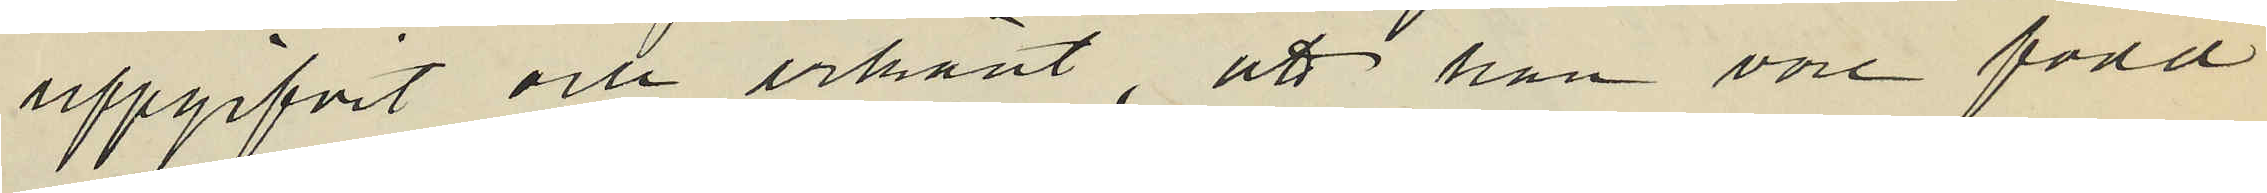uppgifvit och erkänt, att han vore född
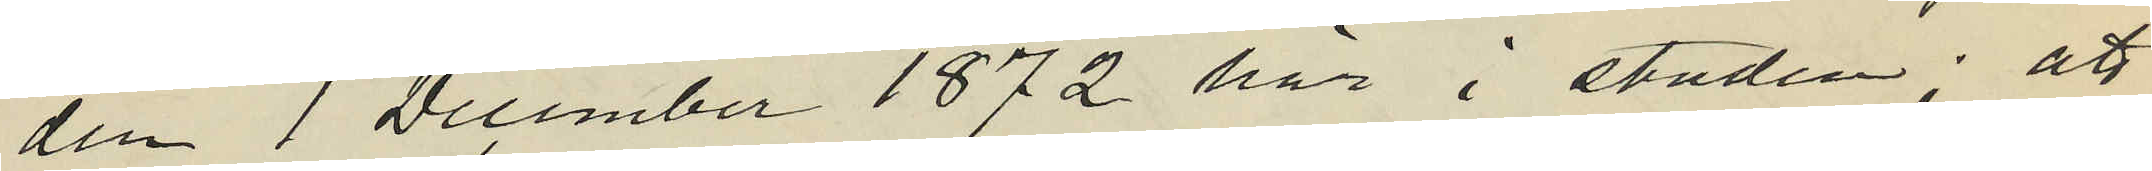den 1 December 1872 här i staden; att
